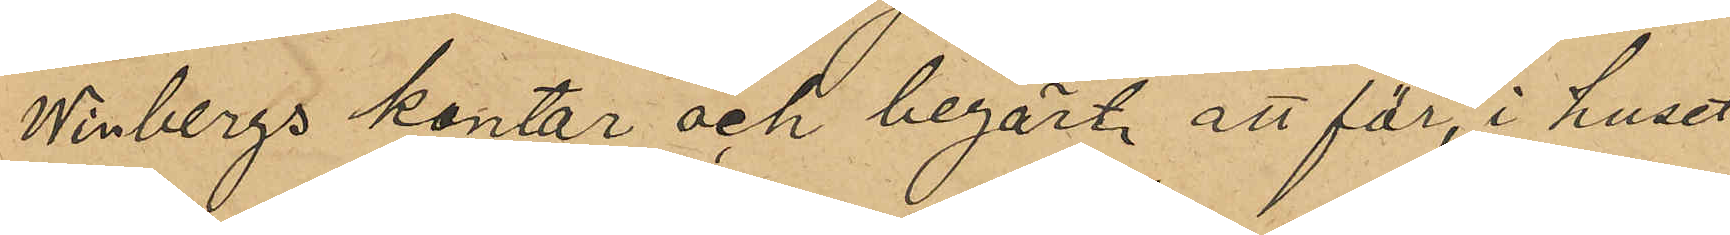Winbergs kontor och begärt att för, i huset
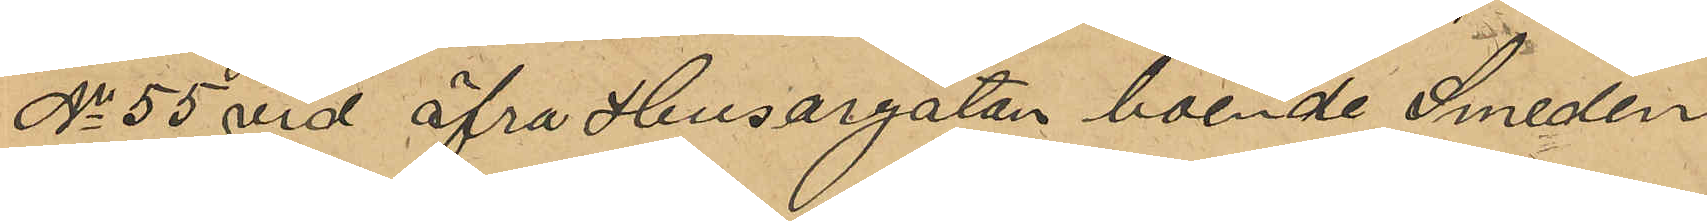No 55 vid öfra Husargatan boende Smeden
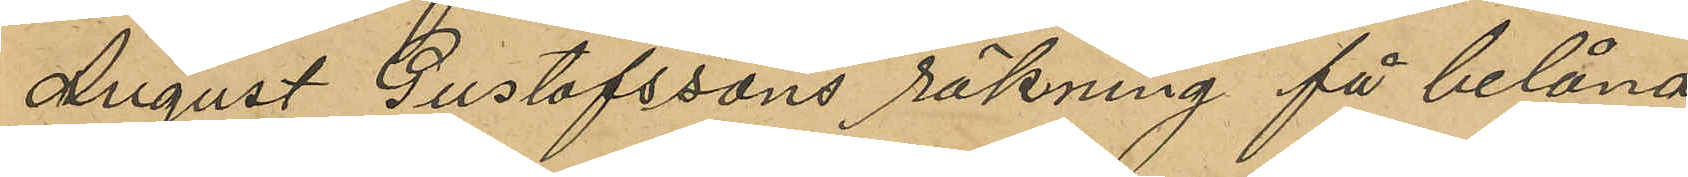August Gustafssons räkning få belåna
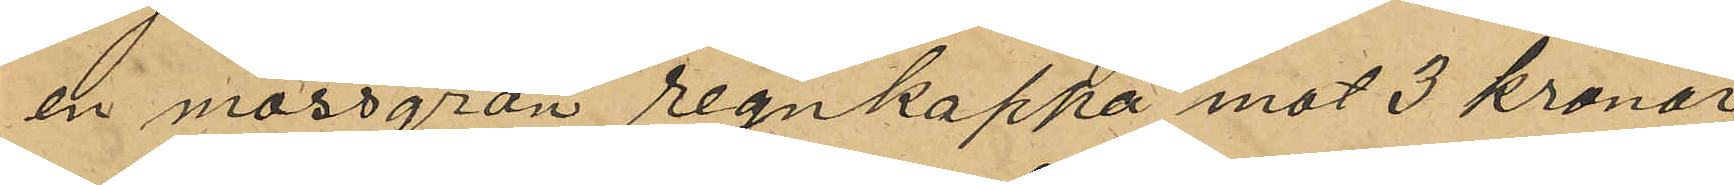en mossgrön regnkappa mot 3 kronor,
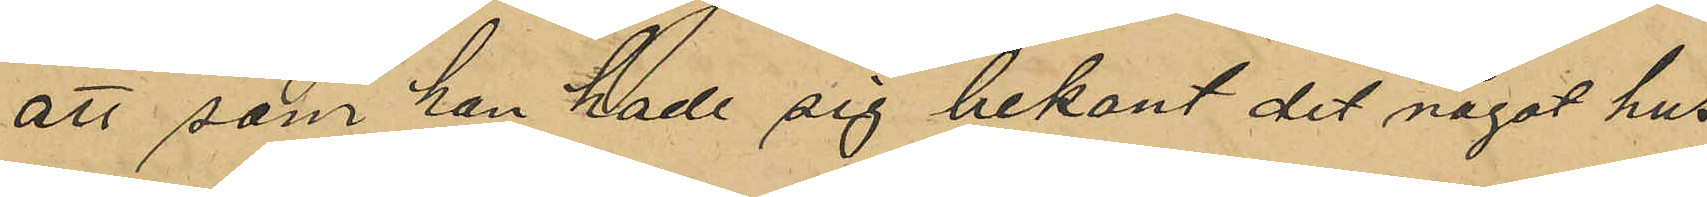att som han hade sig bekant det något hus
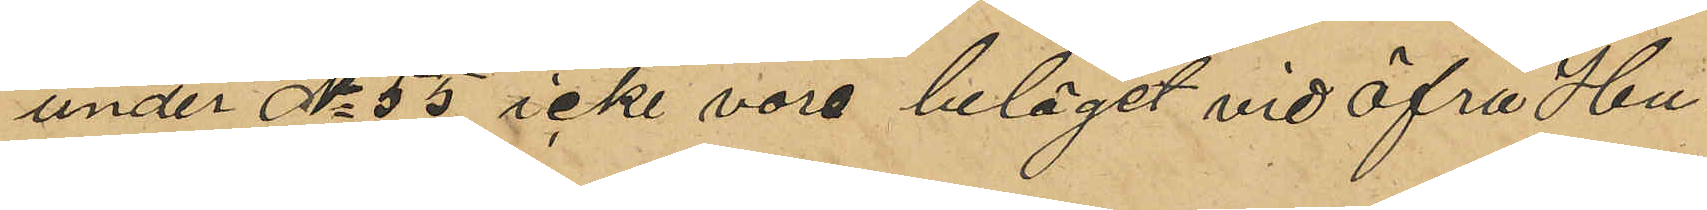under No 55 icke vore beläget vid öfra Hu¬
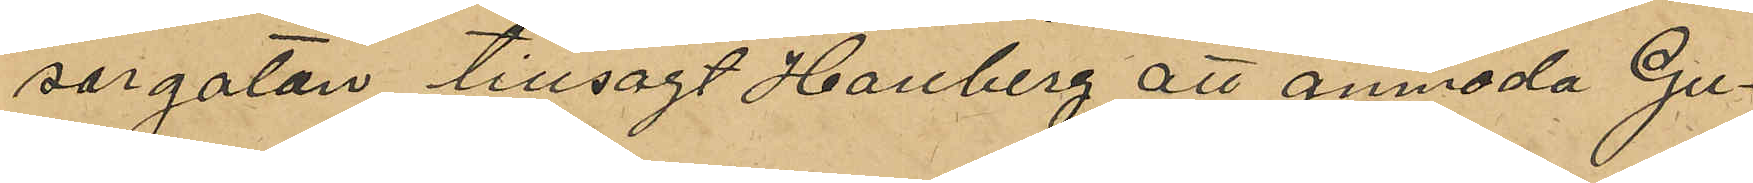sargatan tillsagt Hallberg att anmoda Gu¬
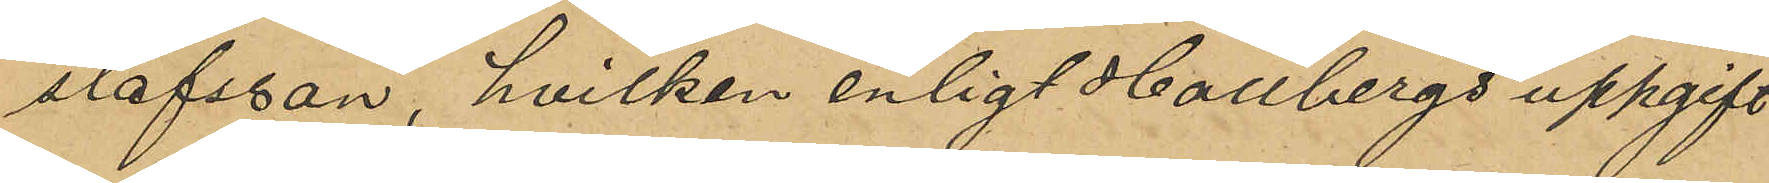stafsson, hvilken enligt Hallbergs uppgift
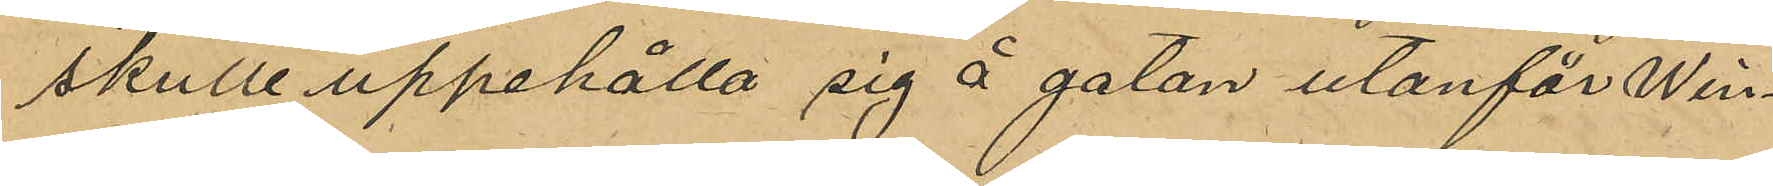skulle uppehålla sig å gatan utanför Win¬
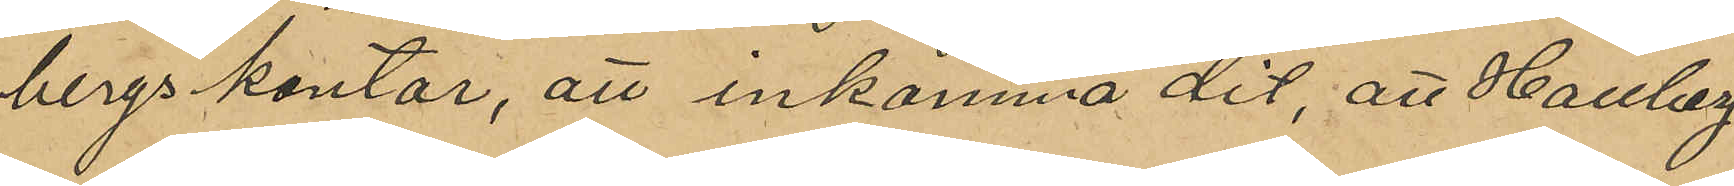bergs kontor, att inkomma dit, att Hallberg
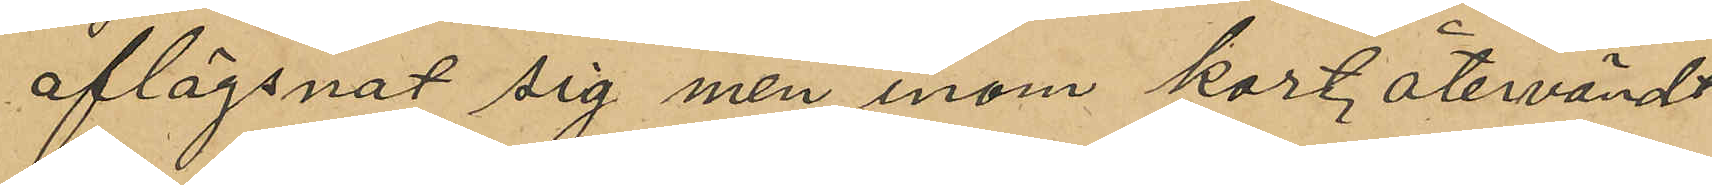aflägsnat sig men inom kort, återvändt
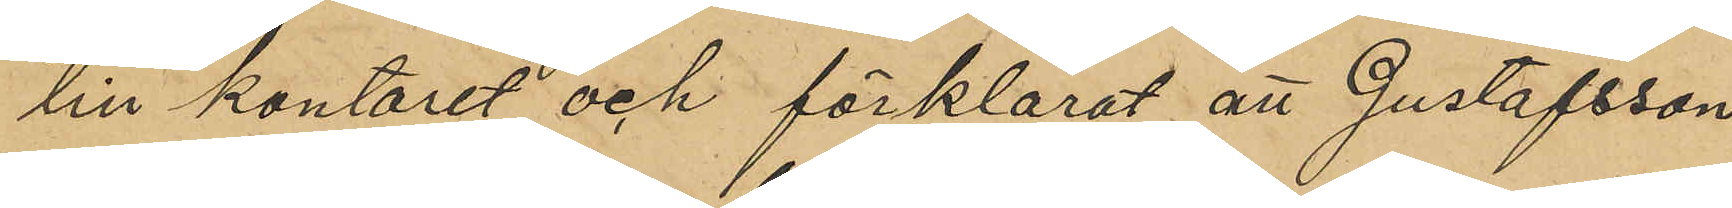till kontoret och förklarat att Gustafsson
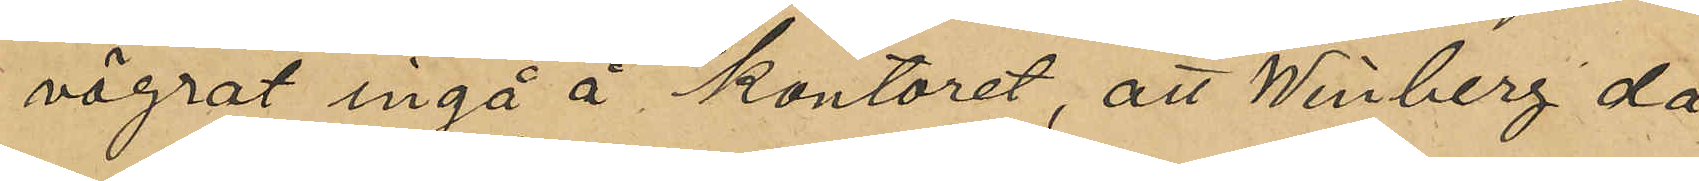vägrat ingå å kontoret, att Winberg då
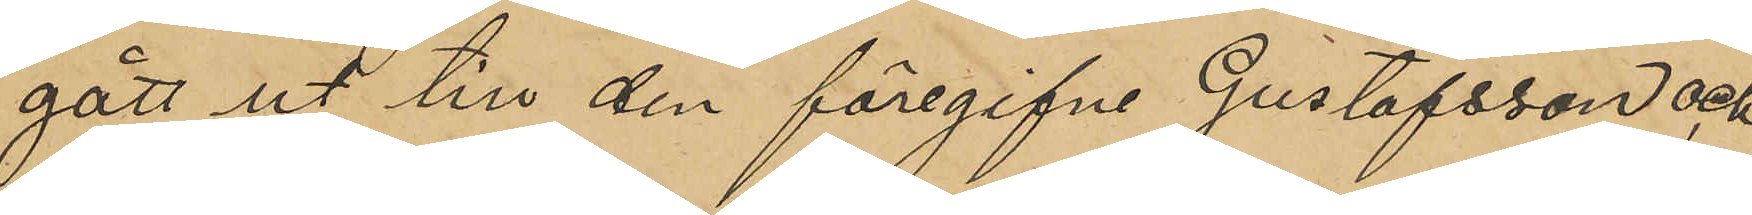gått ut till den föregifne Gustafsson och,
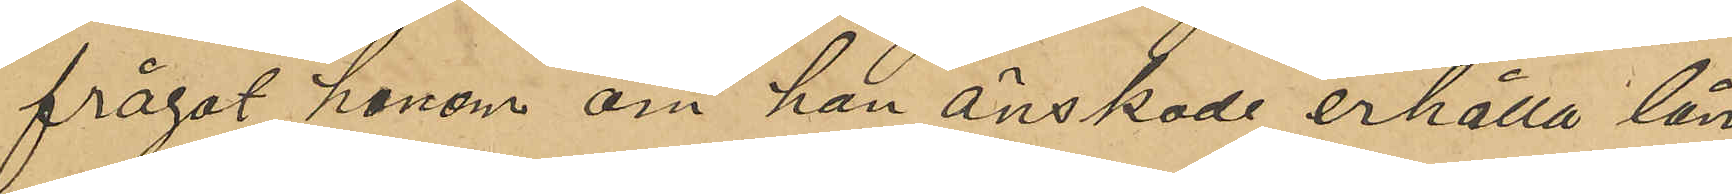frågat honom om han önskade erhålla lån
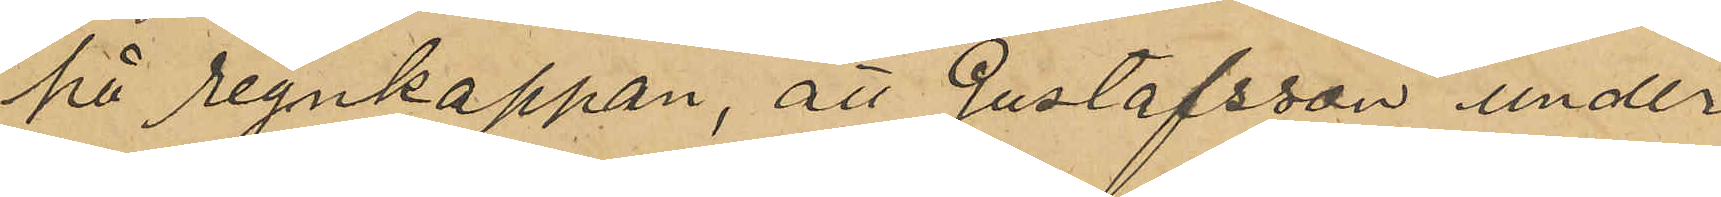på regnkappan, att Gustafsson under
